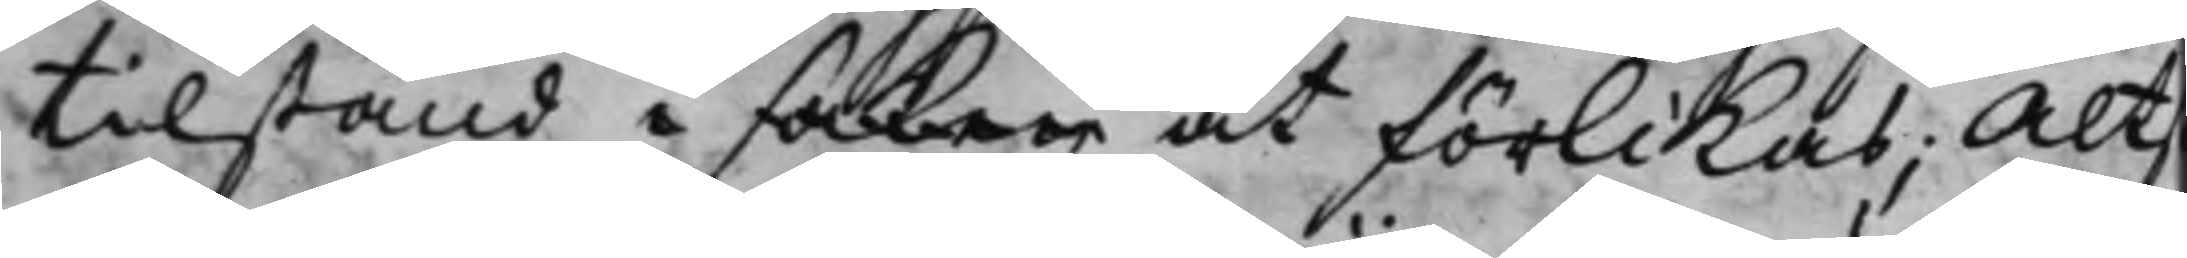tillstånd i saken at förlikas; Alts
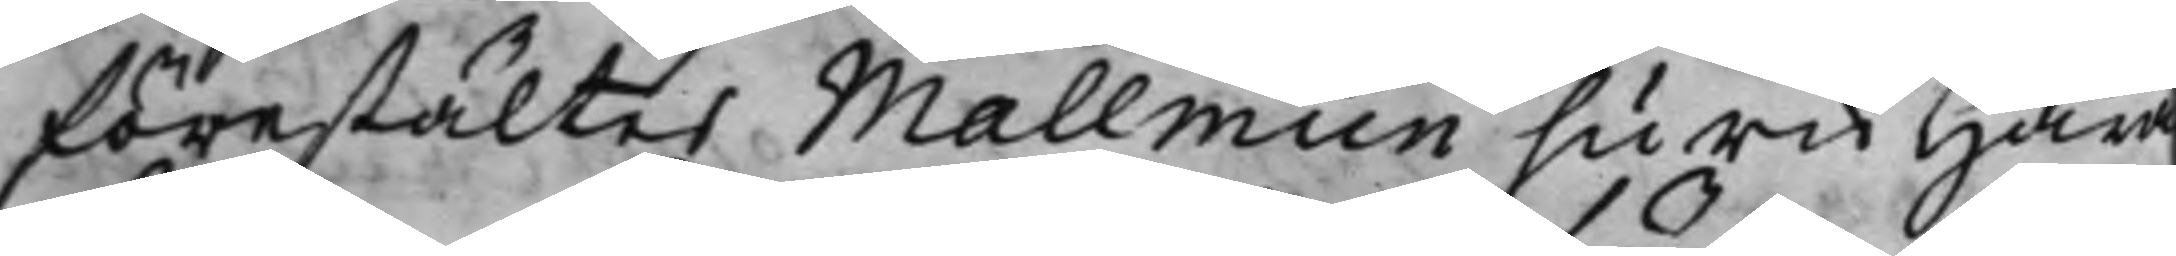förestältes Mallmiin huru Hära¬
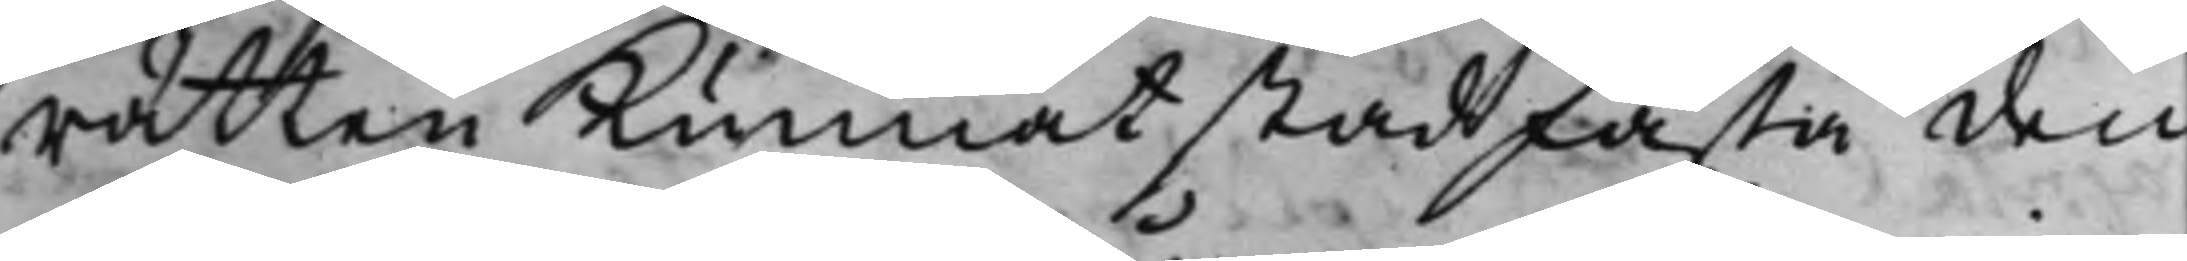rätten kunnat stadfästa den
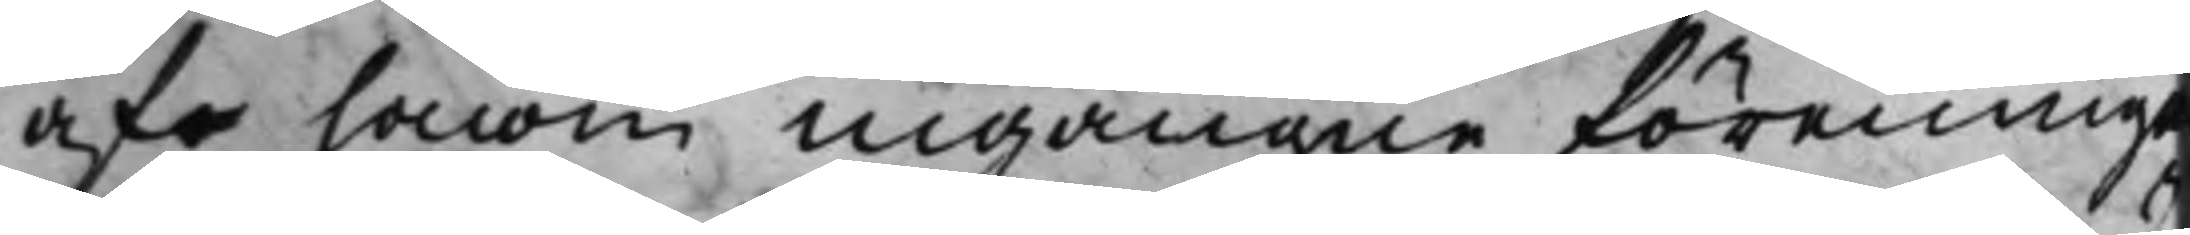af honom ingångne förening
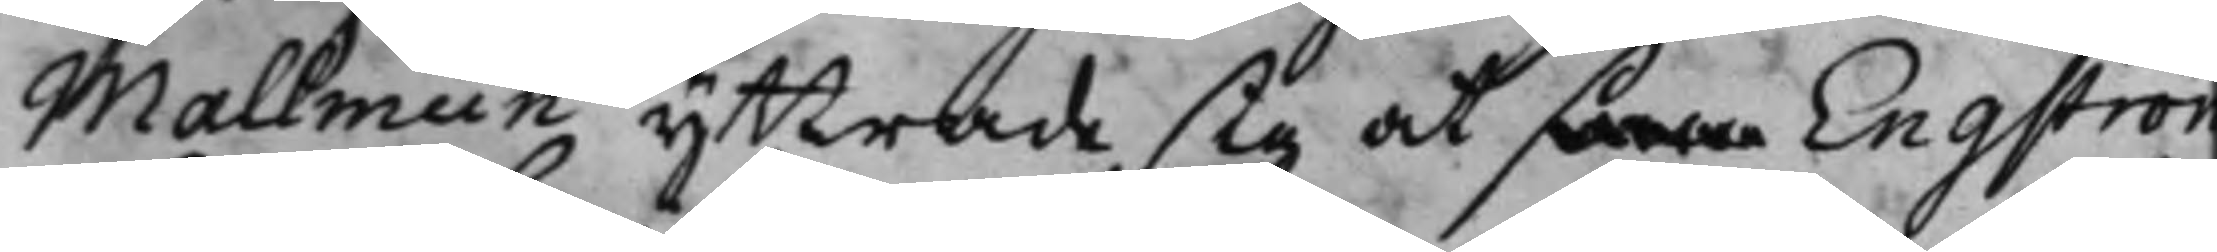Mallmiin yttrade sig at som Engström
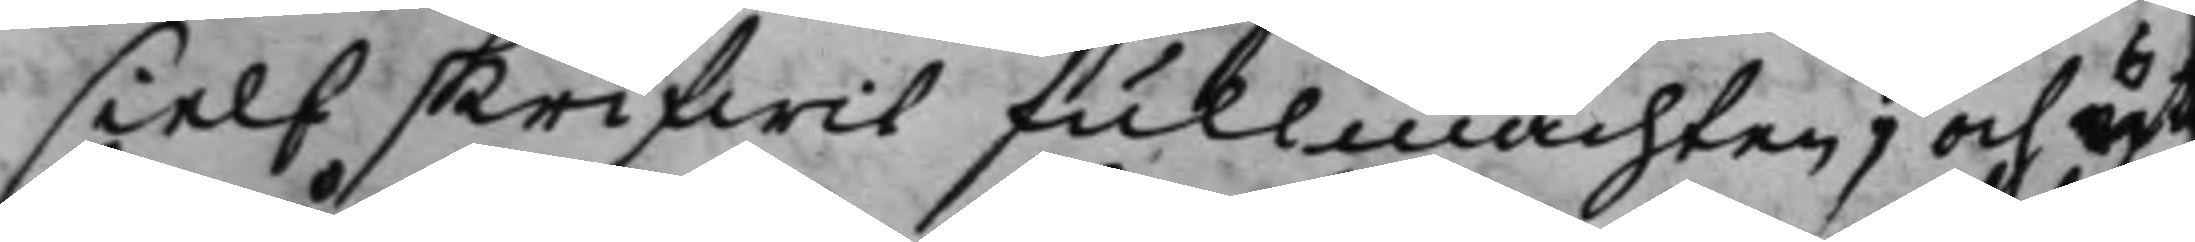sielf skrifwit fullmachten, och yt
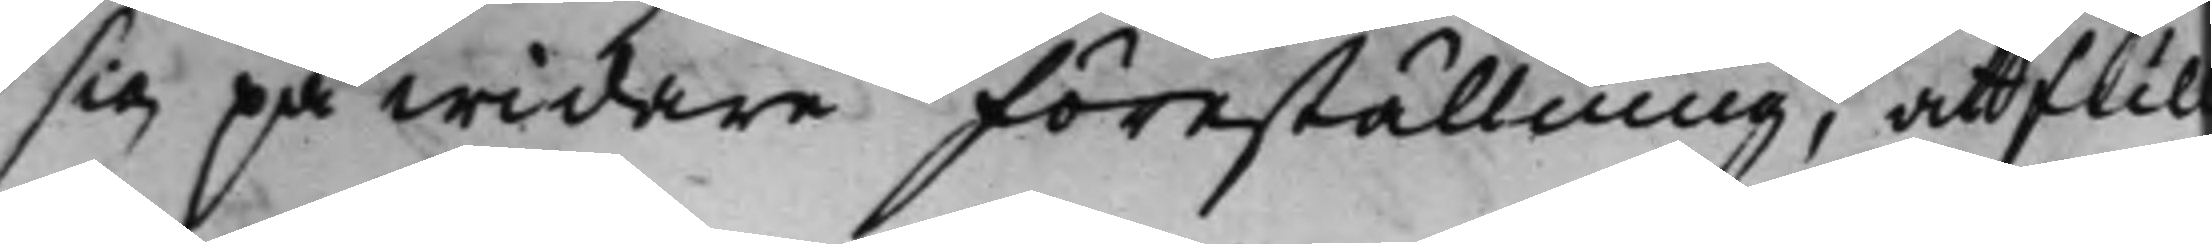sig på widare föreställning, att full¬
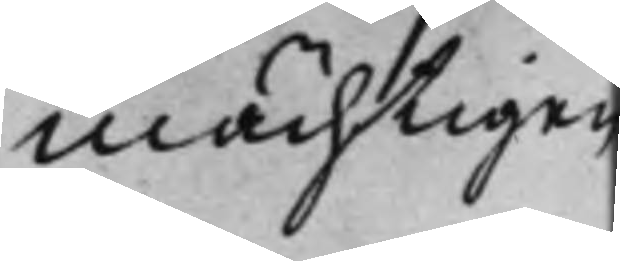mächtigen
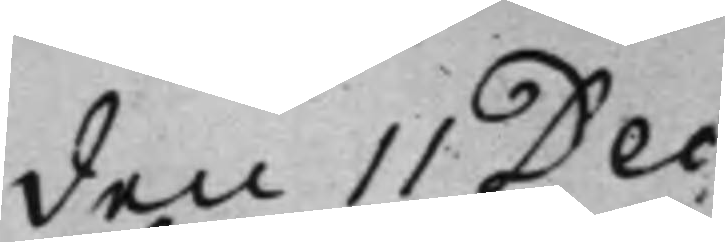den 11 Dec:
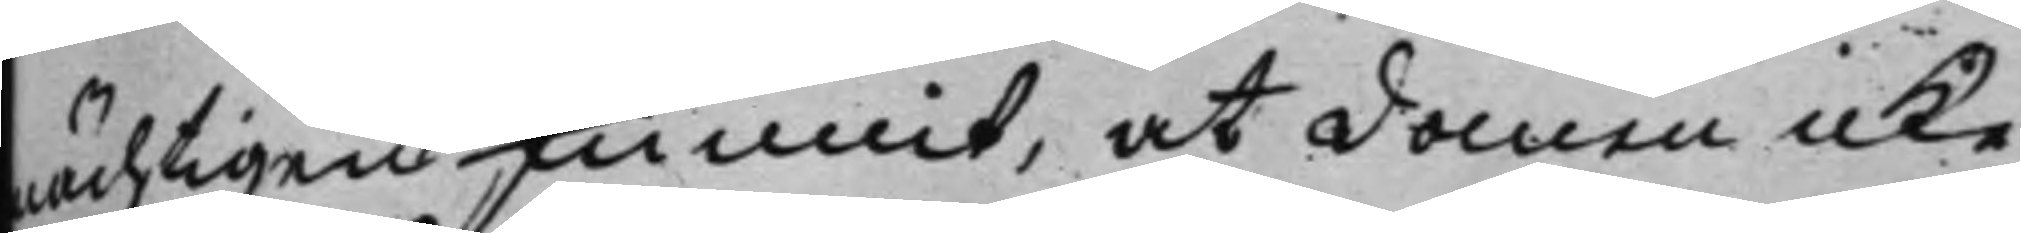mächtigen funnit, at domen icke
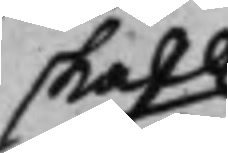skall
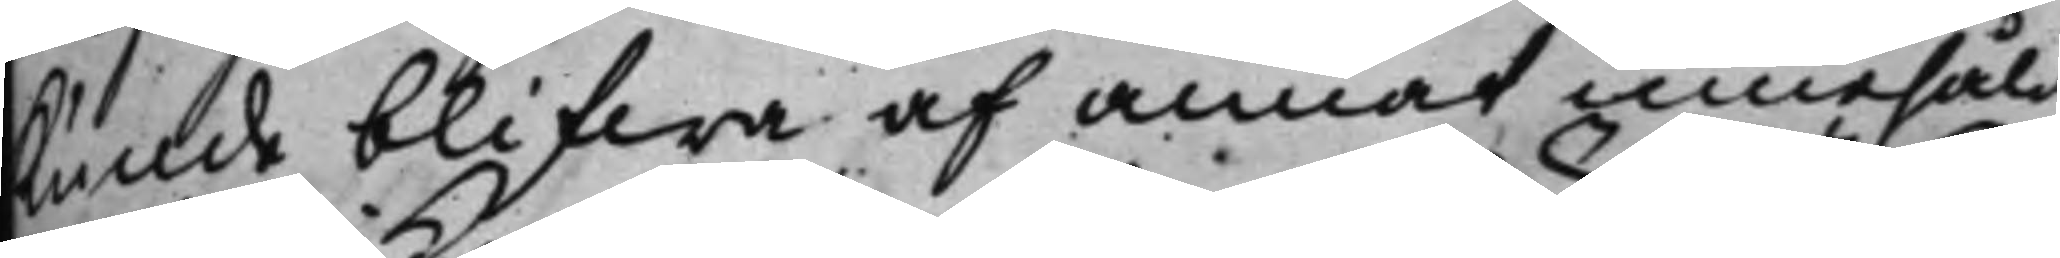kunde blifwa af annat innehåld
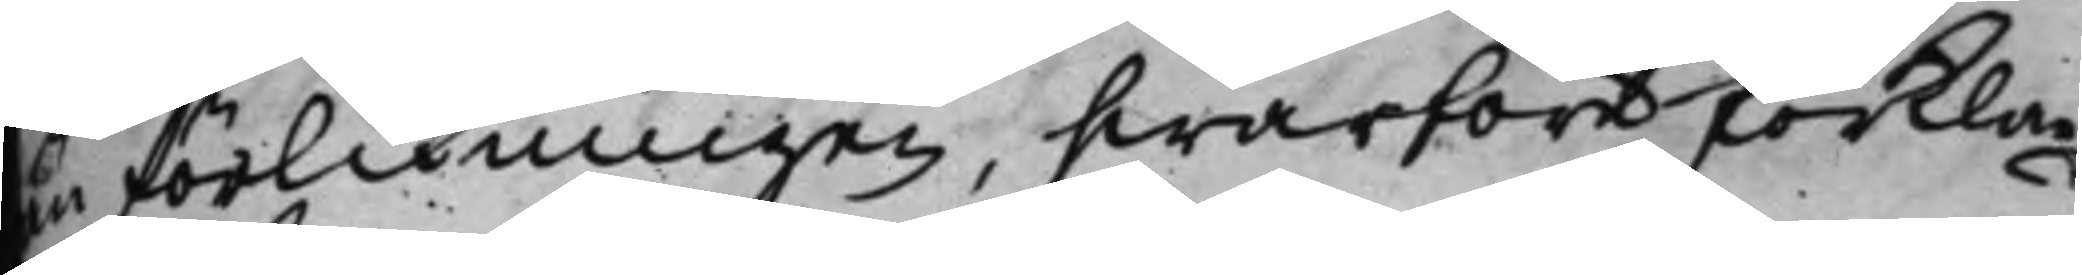än förlikningen, hwarföre förkla¬
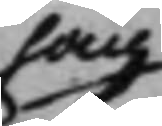han
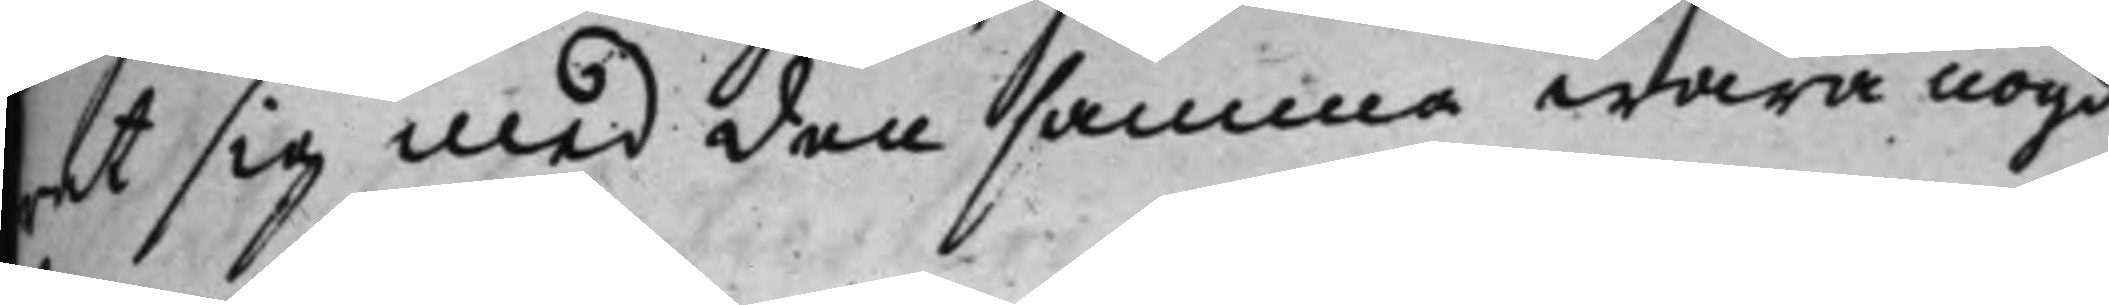rat sig med den samma wara nögd.
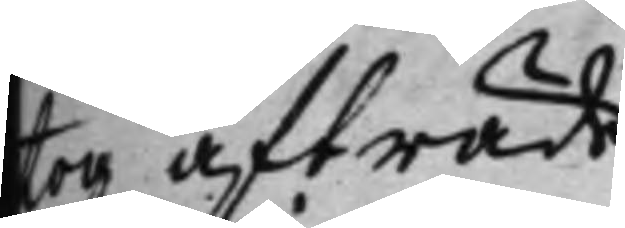tog afträde.
